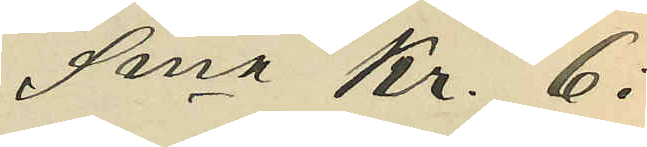Sma Kr. 6:
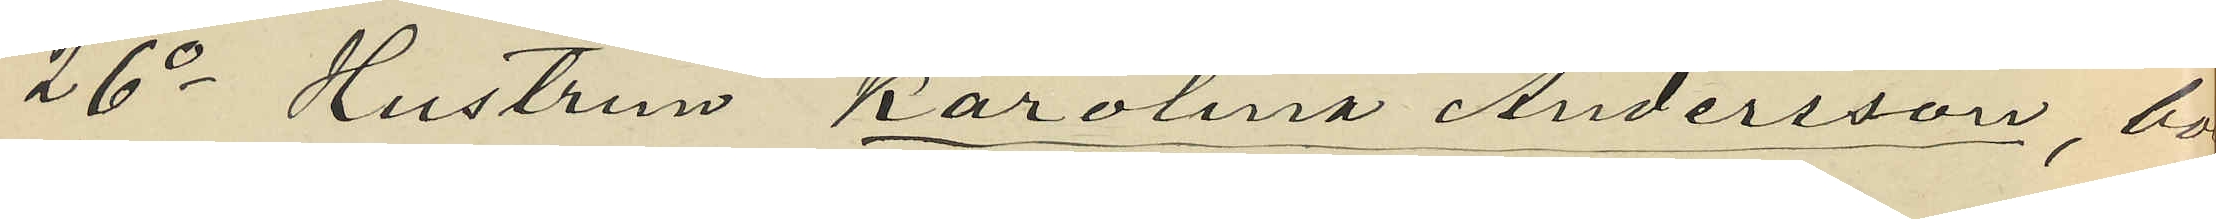26o Hustrun Karolina Andersson, boe¬
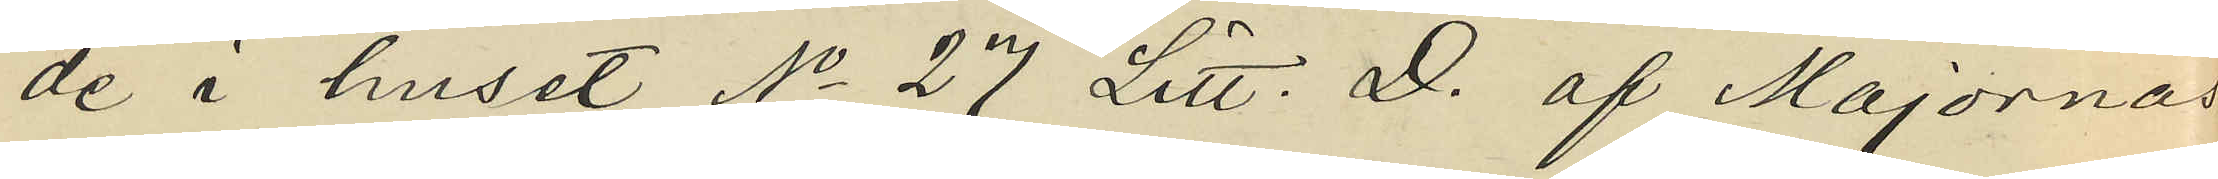de i huset No 27 Litt. D. af Majornas
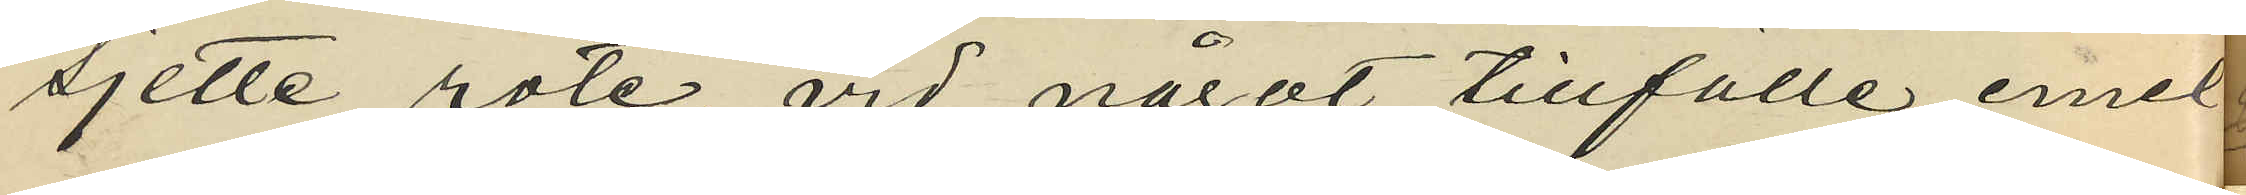sjette rote, vid något tillfälle emel¬
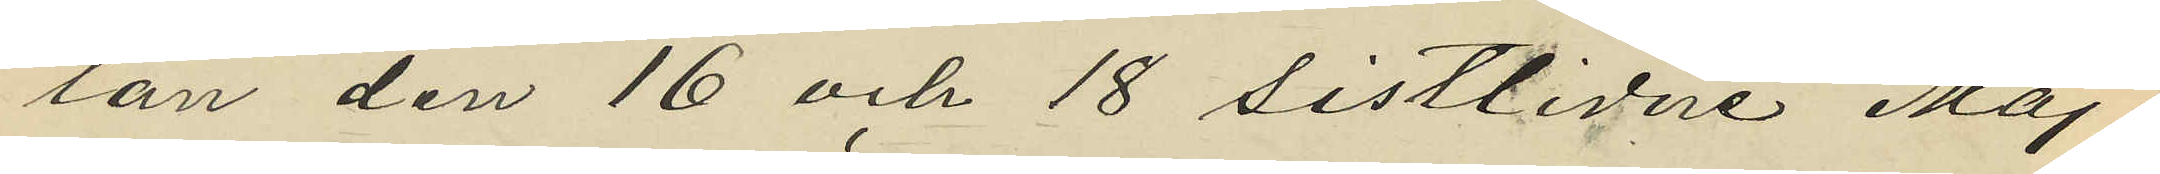lan den 16 och 18 sistlidne Maj.
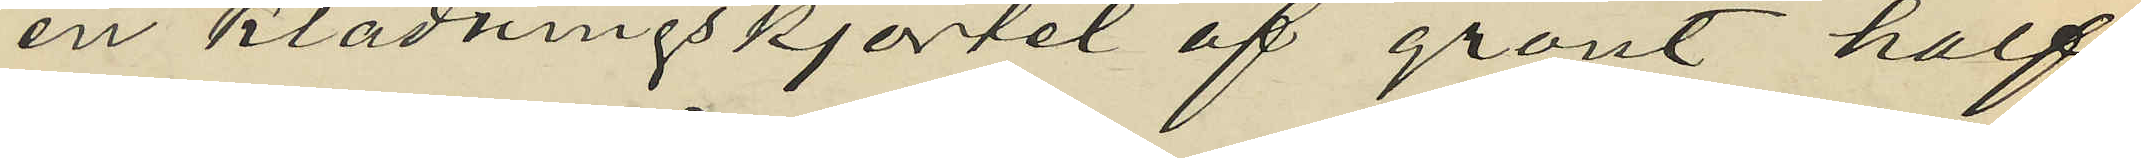en klädningskjortel af grönt half
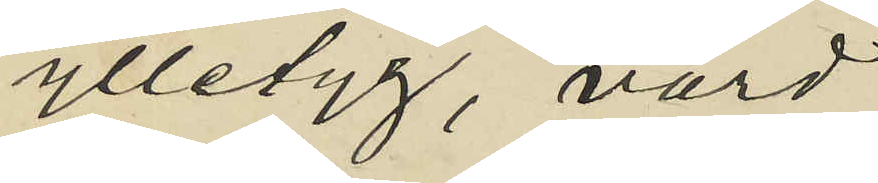ylletyg, värd
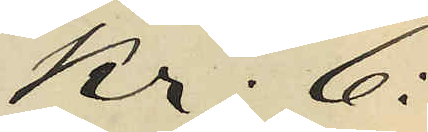Kr. 6:
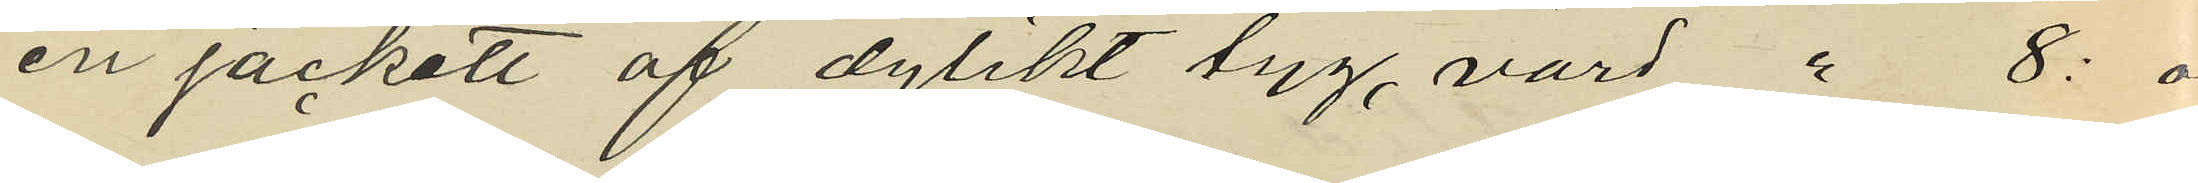en jackett af dylikt tyg, värd " 8: och
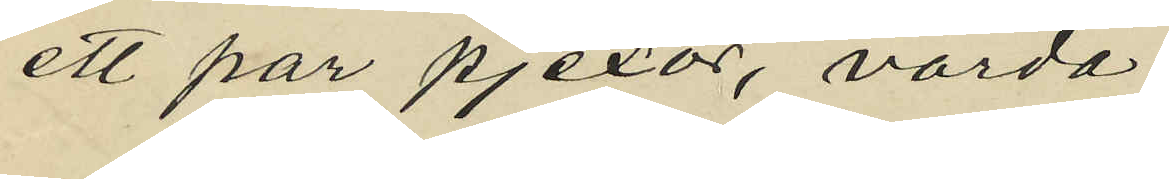ett par pjexor, värda
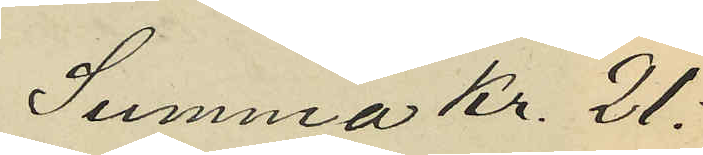Summa Kr. 21:
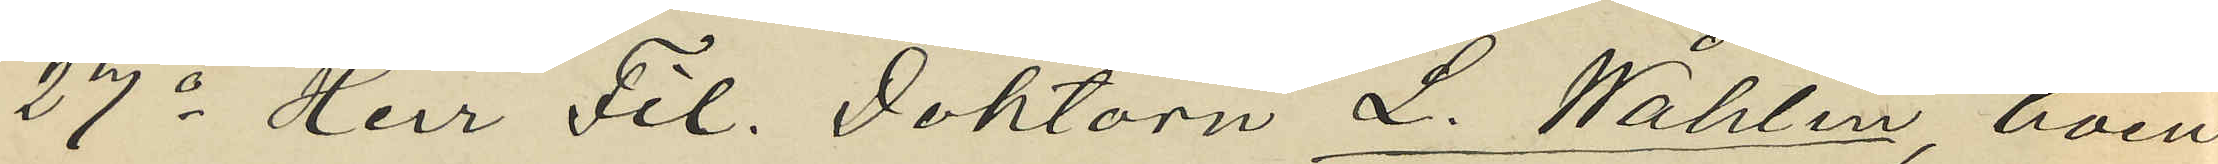27o Herr Fil. Doktorn L. Wåhlin, boen¬
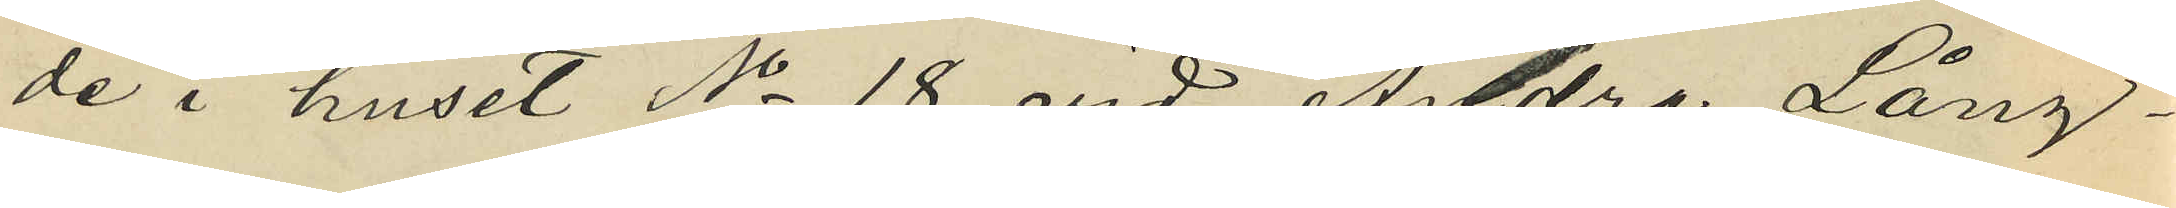de i huset No 18 vid Andra Lång¬
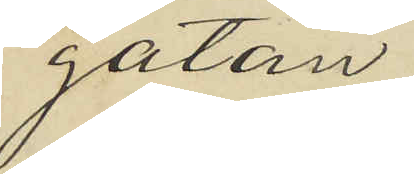gatan,
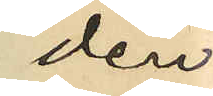den
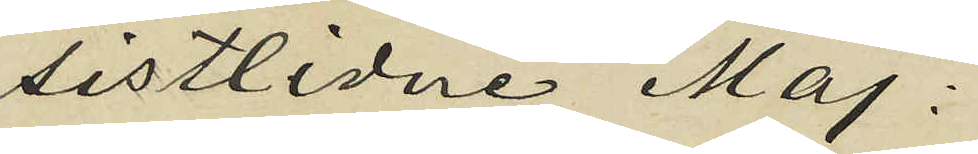sistlidne Maj:
